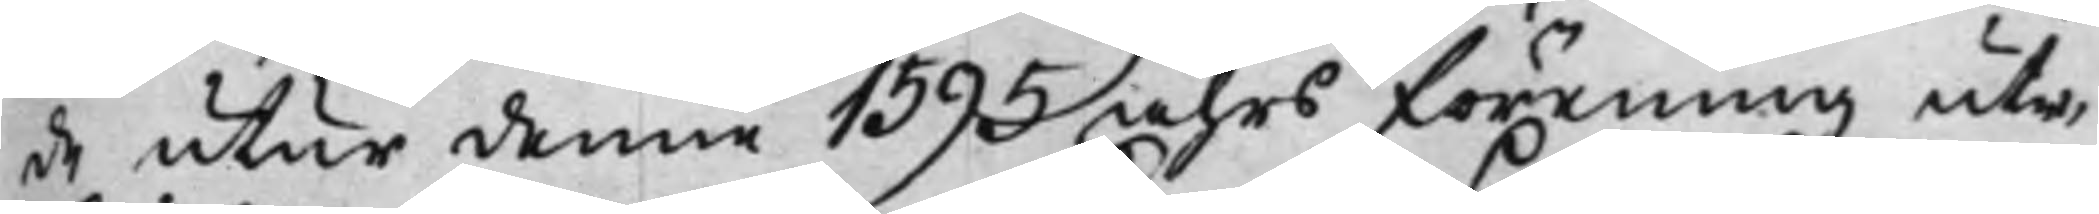de utur denne 1595 åhrs förening ute¬
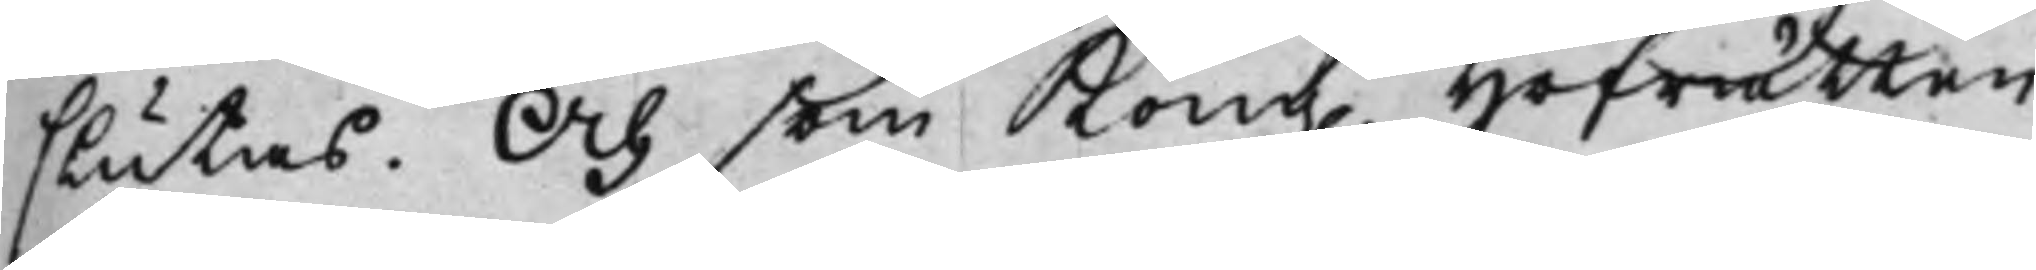slutas. Och som Kong. Hofrätten
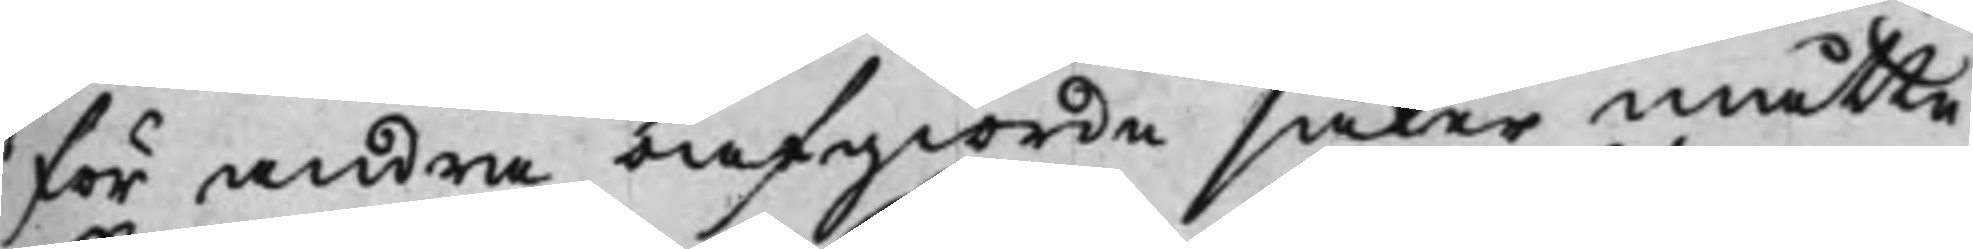för andra oafgiorde saker måtte
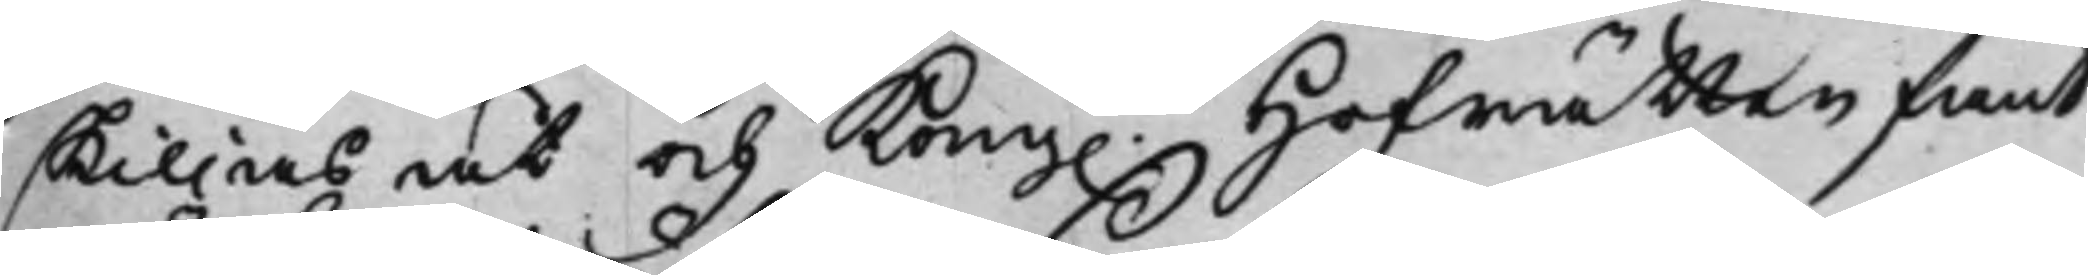skiljas, åt och Kong. Hofrätten fant
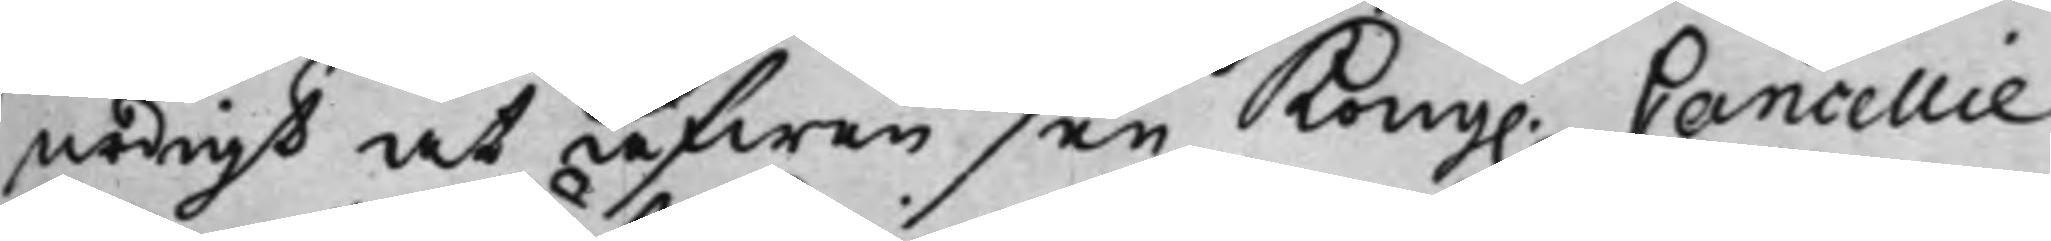nödigt att äfwen see Kong. Cancellie
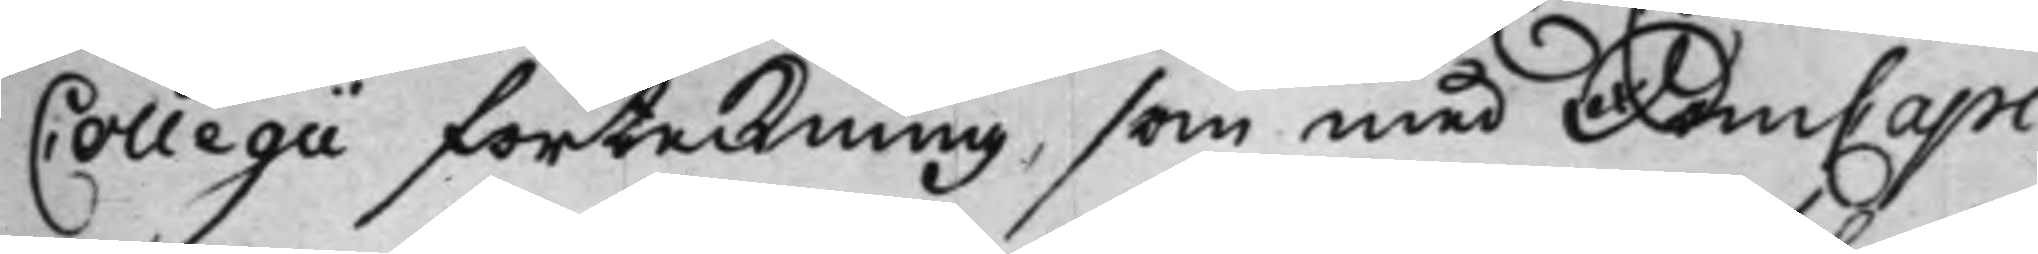Collegii förteckning, som med DomCapi¬
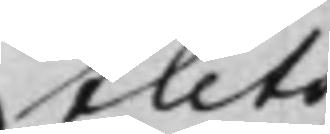tlets
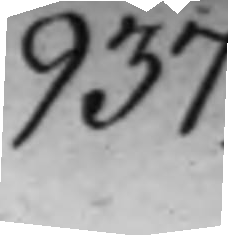937.
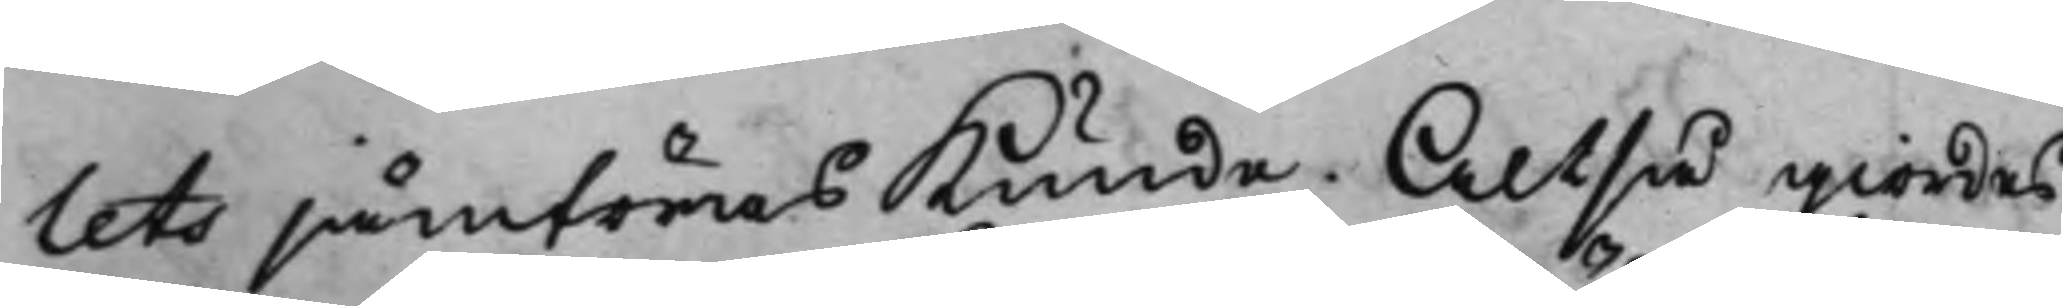lets jämföras kunde. Altså giordes
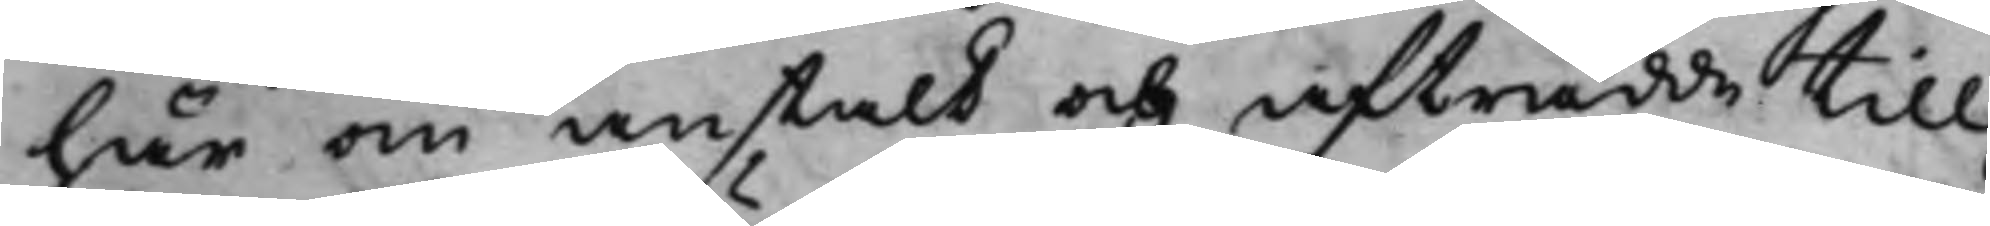här om anstalt och afträdde till
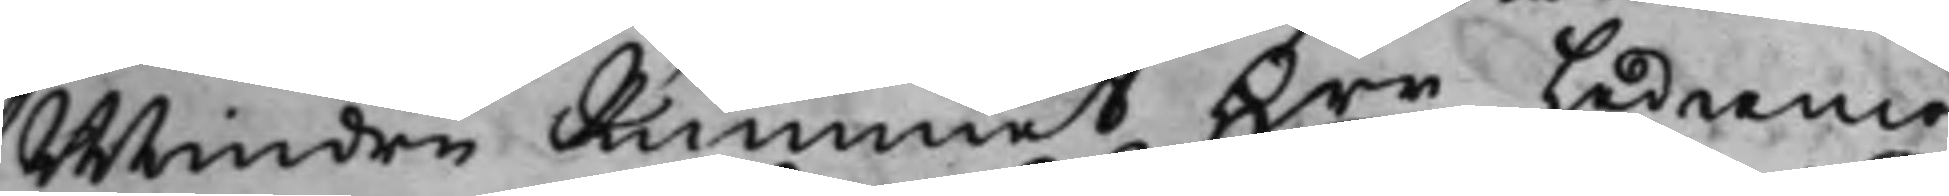Mindre Rummet Hrr Ledamö¬
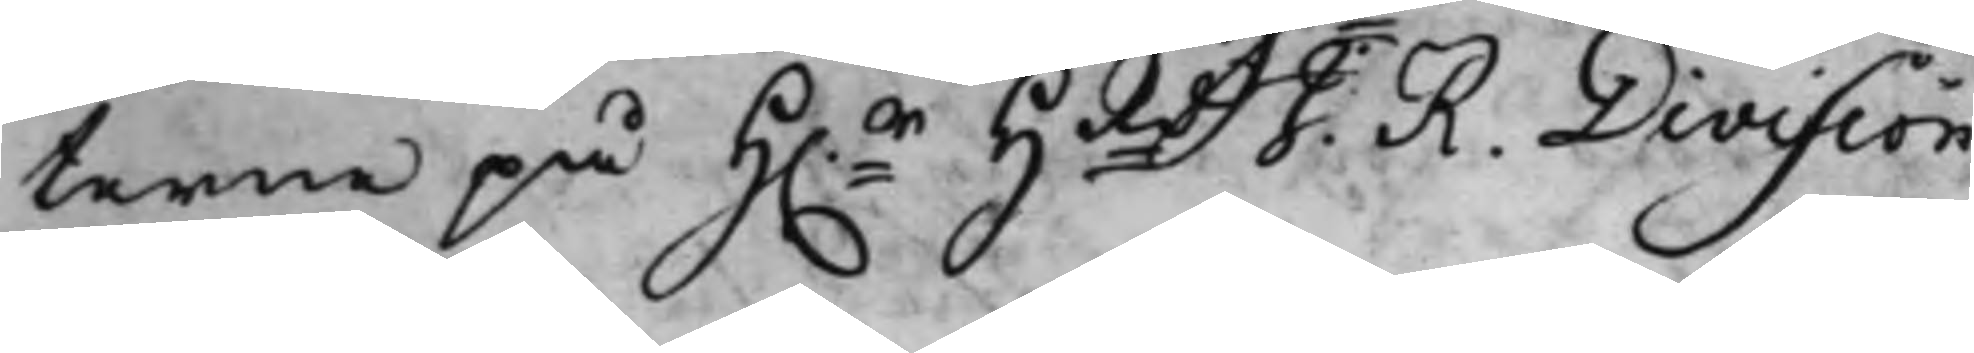terne på H.r HRdt J. R. Division
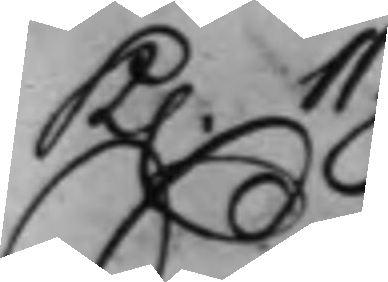K. 11.
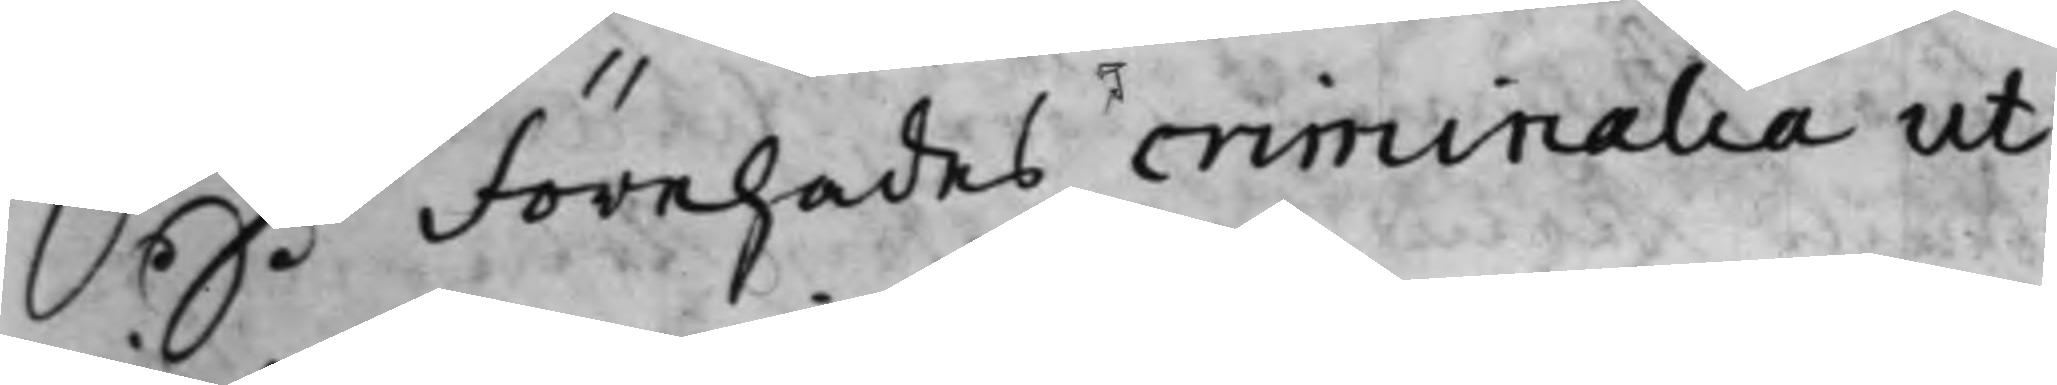S: D: Förehades criminalia ut
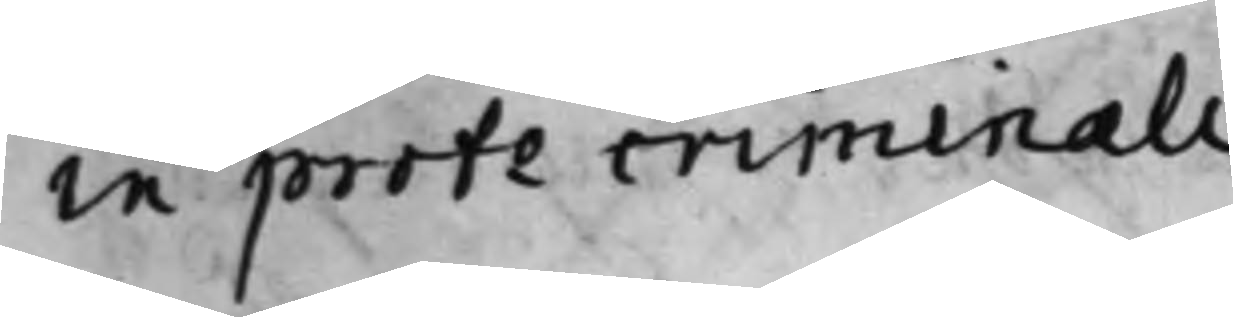in proto criminali.
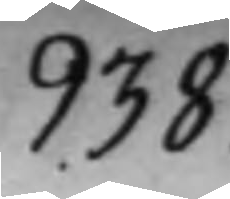938.
